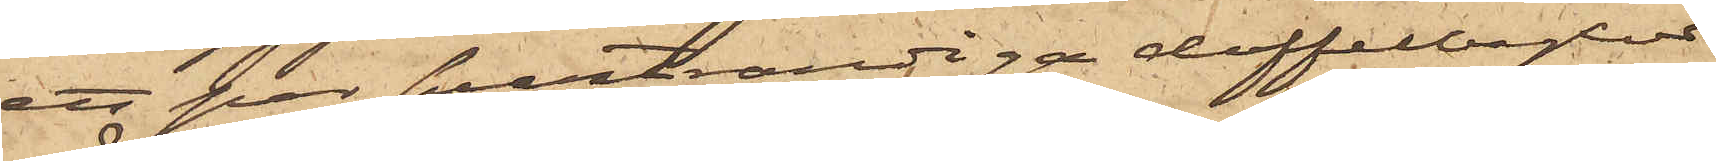ett par svartrandiga doffelbyxor
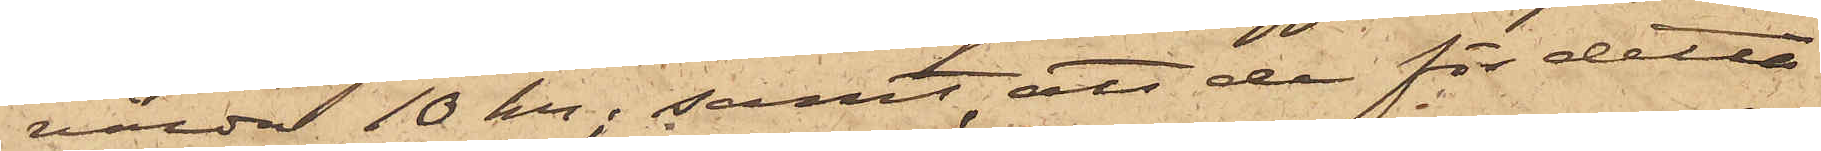värda 10 Kr; samt att de för detta
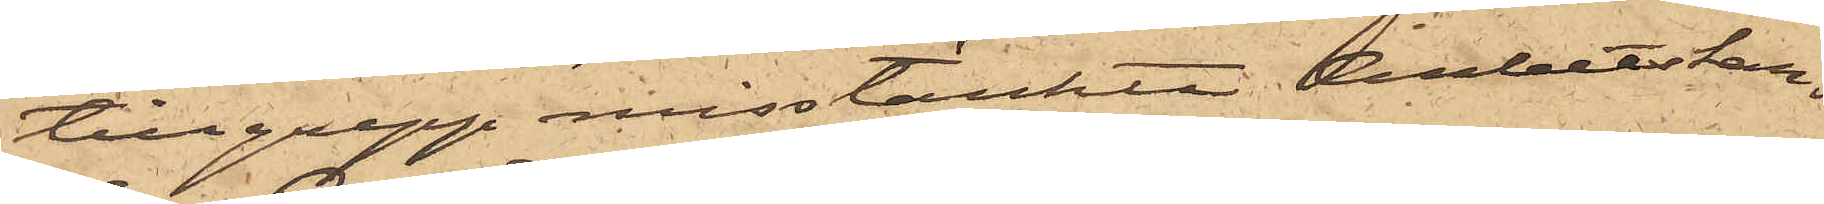tillgrepp misstänkte Arbetskar¬
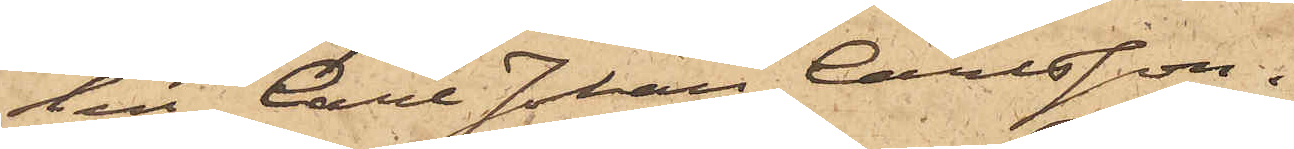len Carl Johan Carlsson.
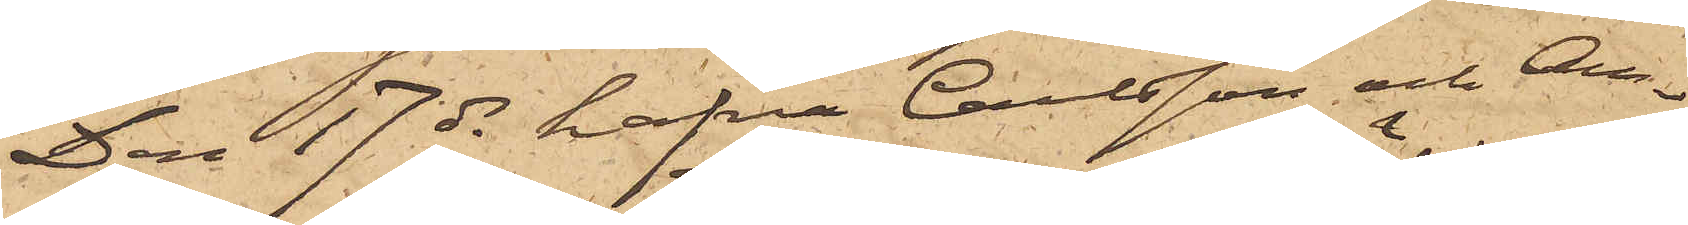Den 17 ds hafva Carlsson och An¬
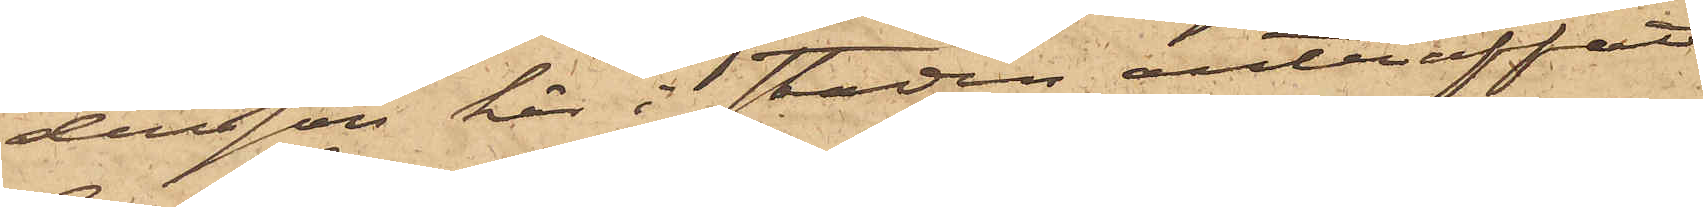dersson här i staden anträffat
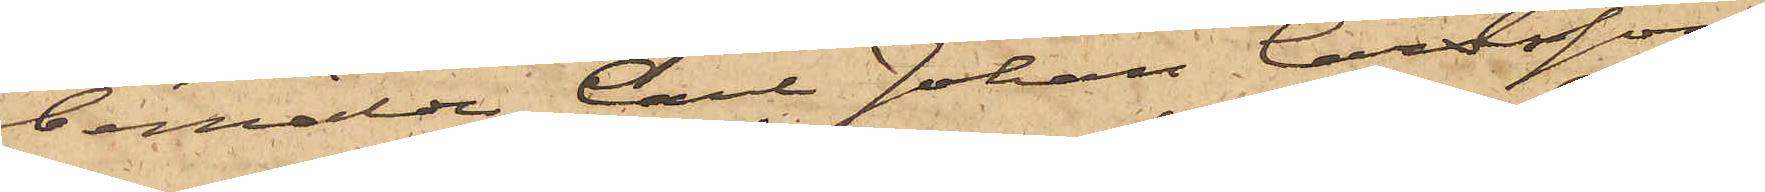bemälde Carl Johan Carlsson,
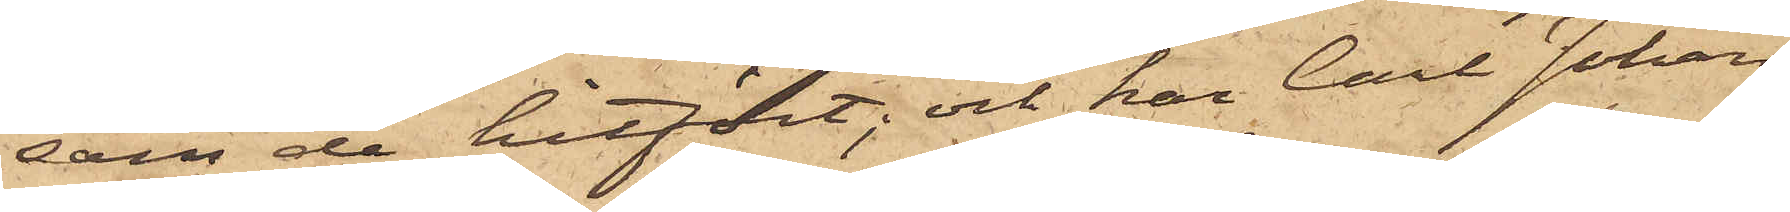som de hitfört; och har Carl Johan
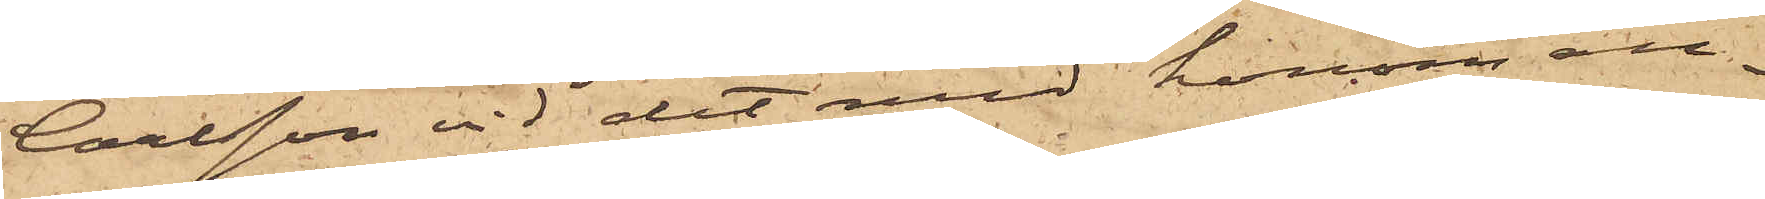Carlsson vid det med honom an¬
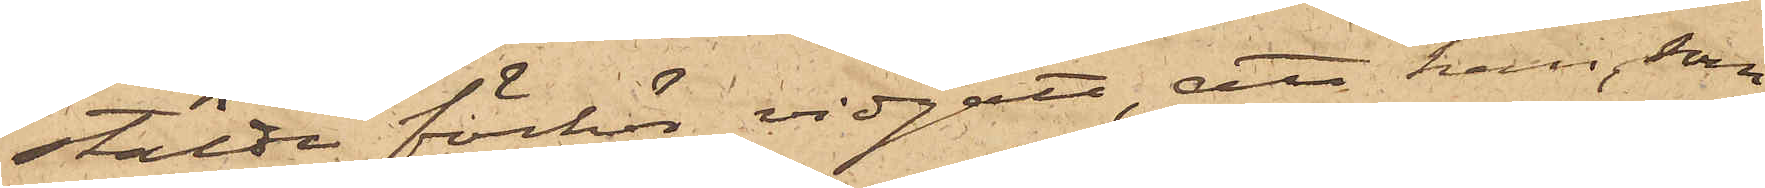stälde förhör vidgått, att han, som
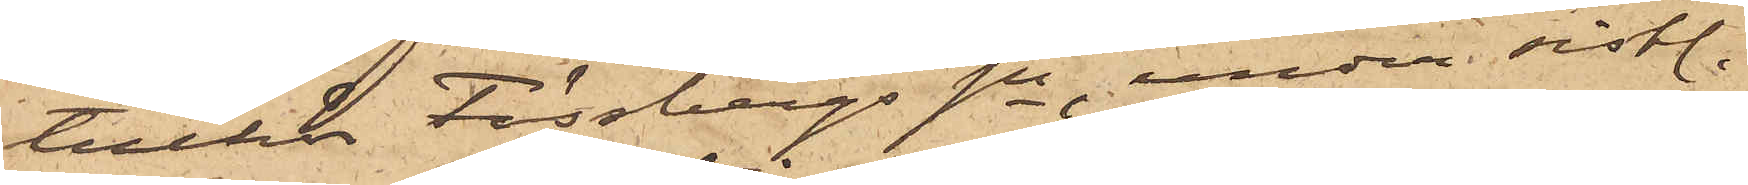tillhör Fässbergs sn, under sist.
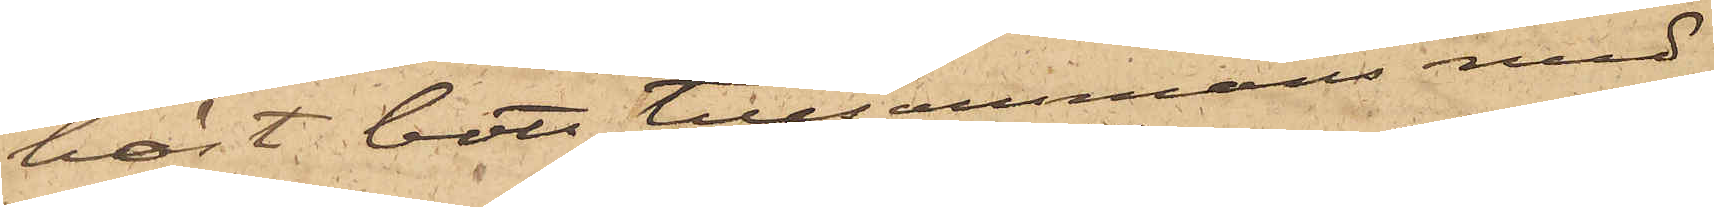höst bott tillsammans med
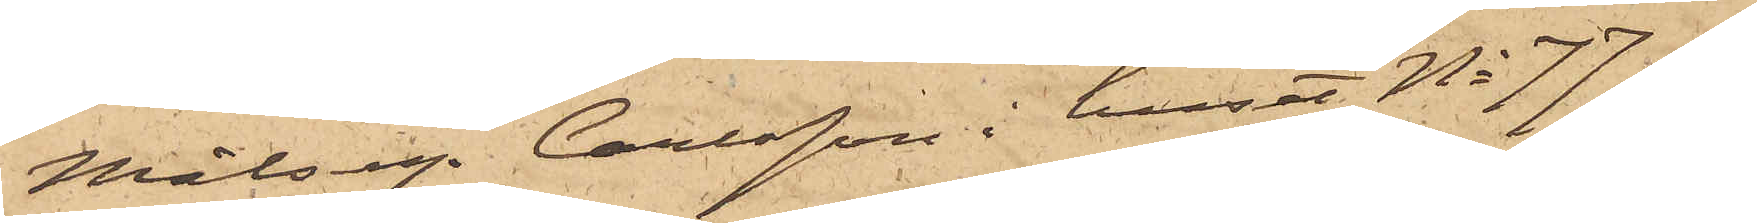Målseg. Carlsson i huset No 77 af
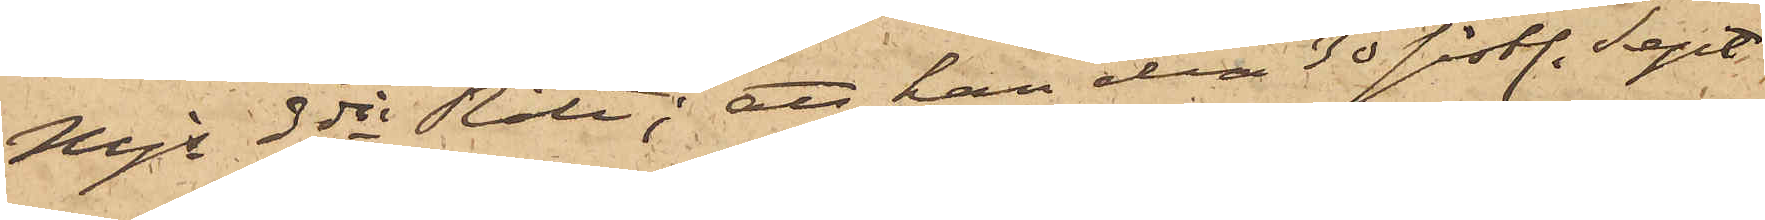Mjs 3dje Rote; att han den 30 sist. Sept.
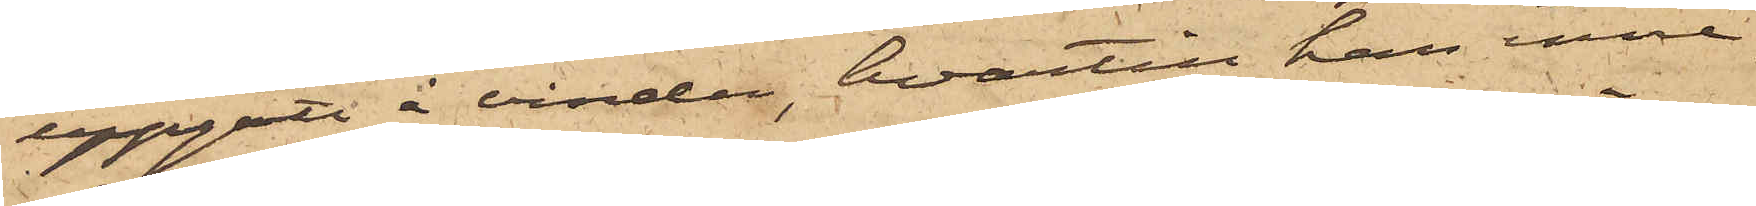uppgått å vinden, hvartill han inne¬
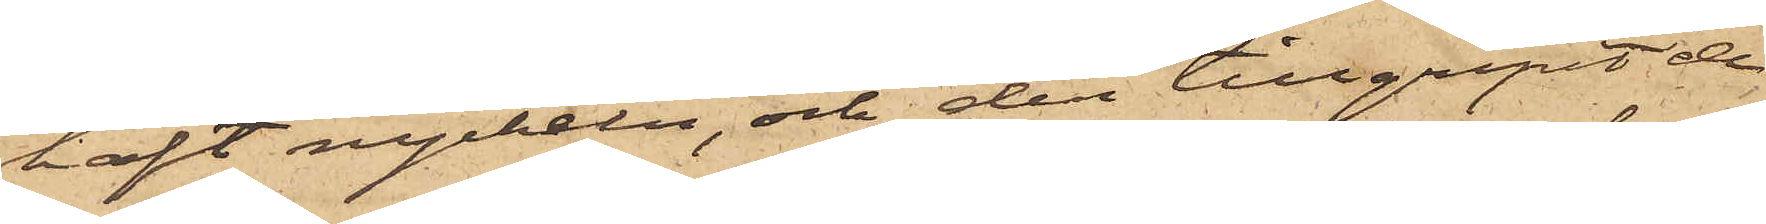haft nyckeln, och der tillgripit de
